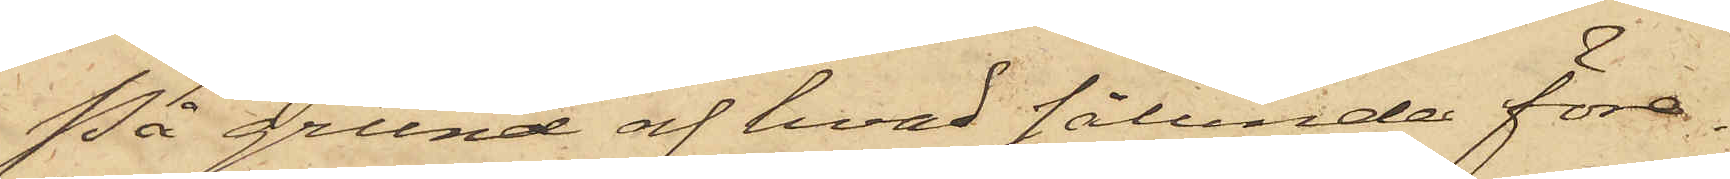På grund af hvad sålunda före¬
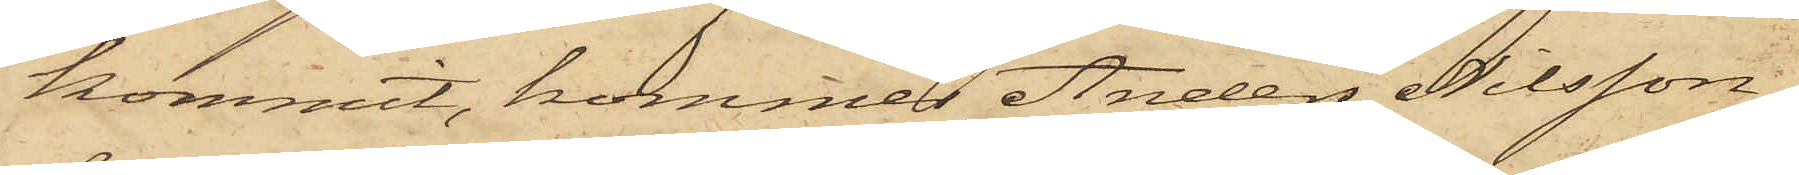kommit, kommer Anders Nilsson,
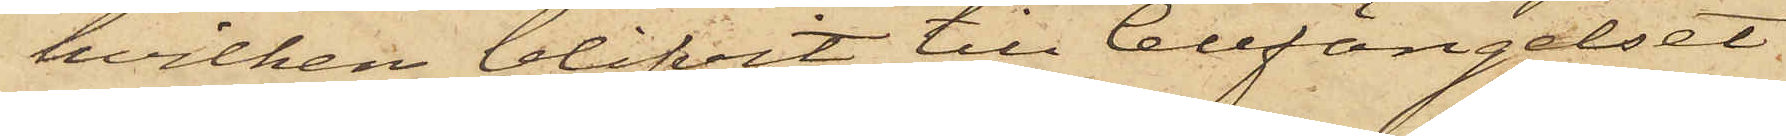hvilken blifvit till Cellfängelset
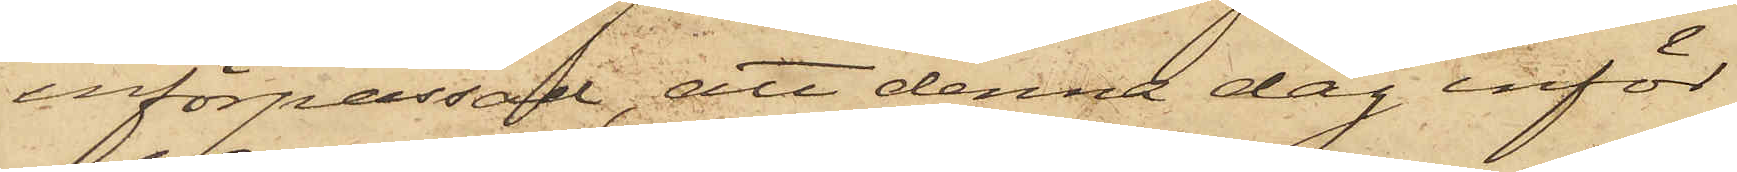införpassad, att denna dag inför
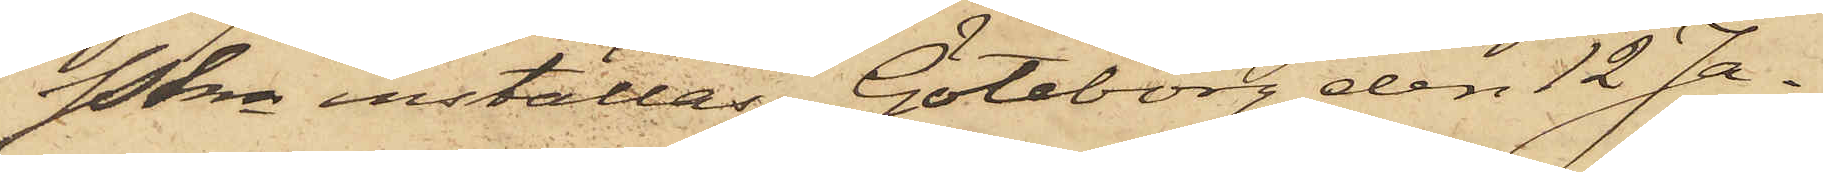Pkn inställas. Göteborg den 12 Ja¬
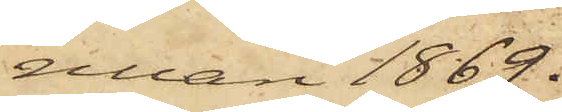nuari 1869.
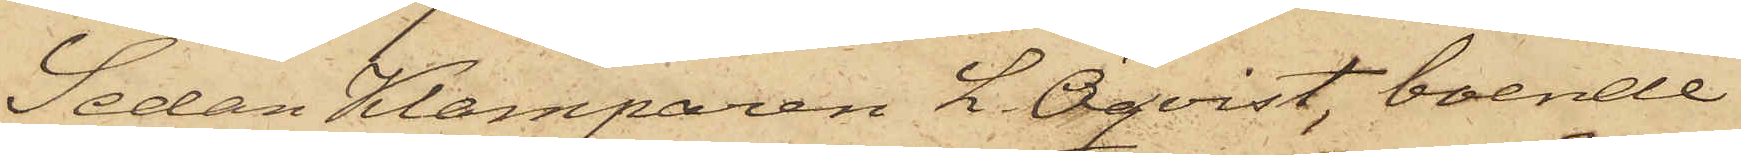Sedan Klamparen L. Öqvist, boende
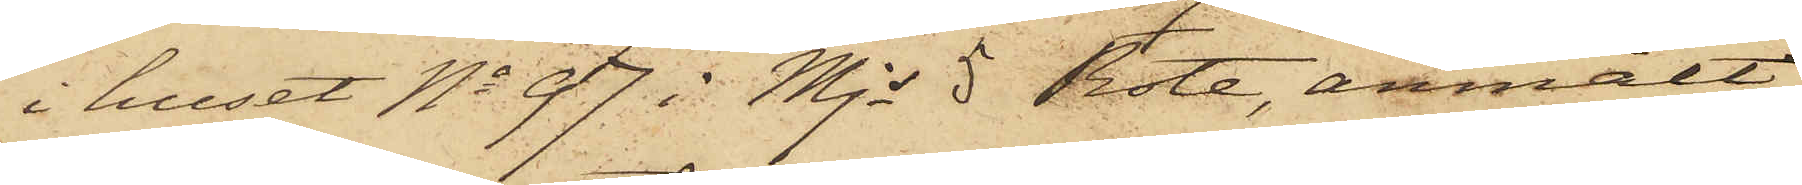i huset No 97 i Mjs 5 Rote, anmält
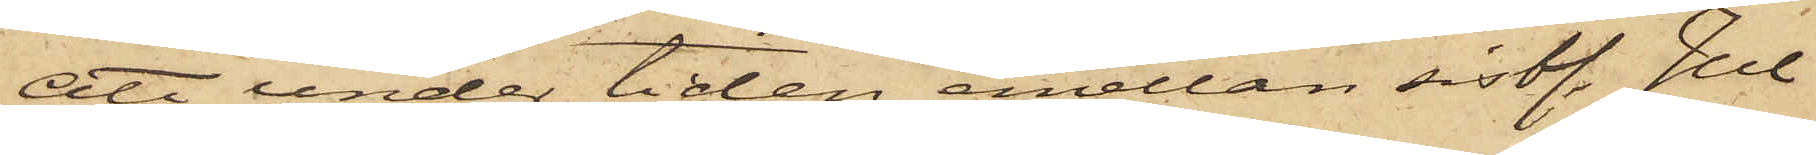att under tiden emellan sistl. Jul
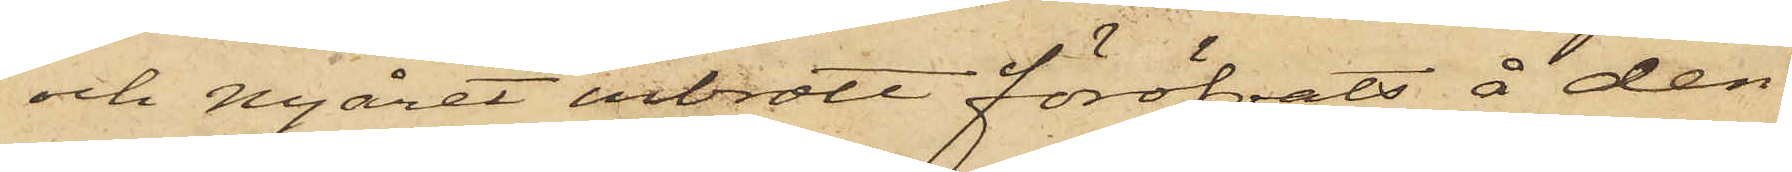och Nyåret inbrott föröfvats å den
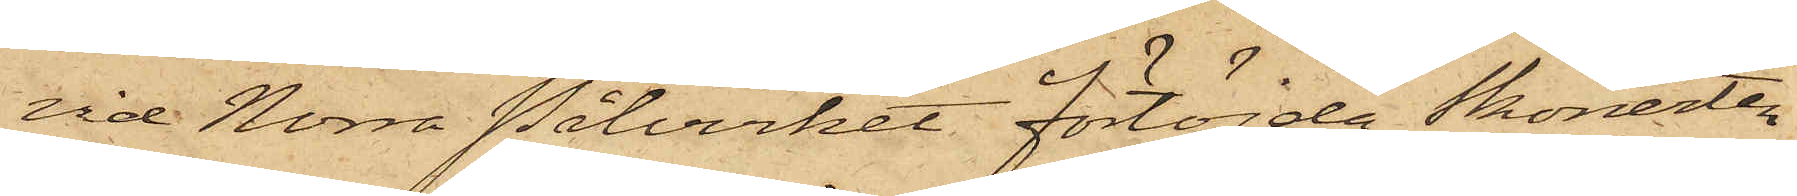vid Norra Pålverket förtöjda Skonerten
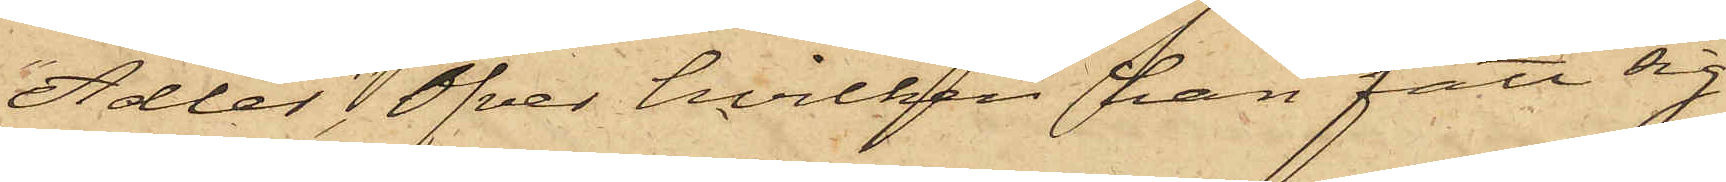"Adler" Öfver hvilken han fått sig
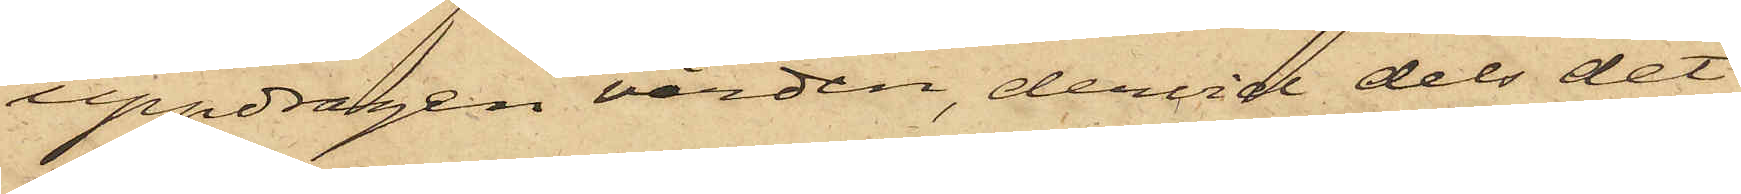uppdragen vården, dervid dels det
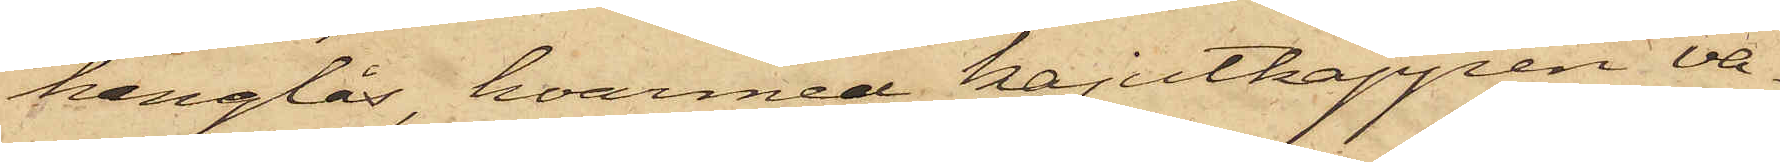hänglås, hvarmed kajutkappen va¬
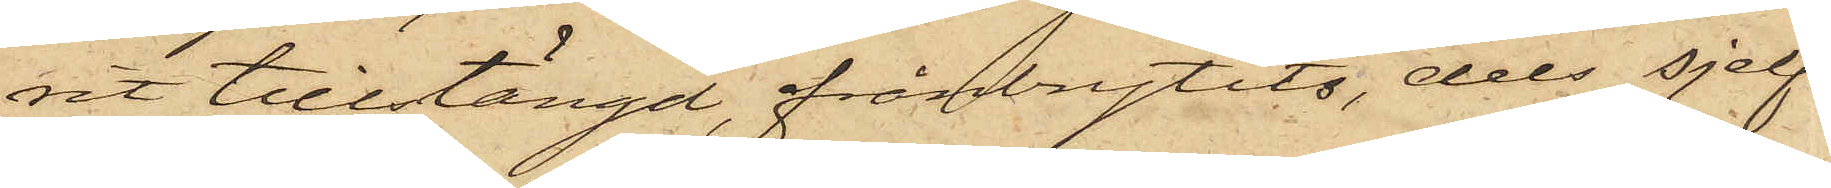rit tillstängd, frånbrytits, dels sjelf¬
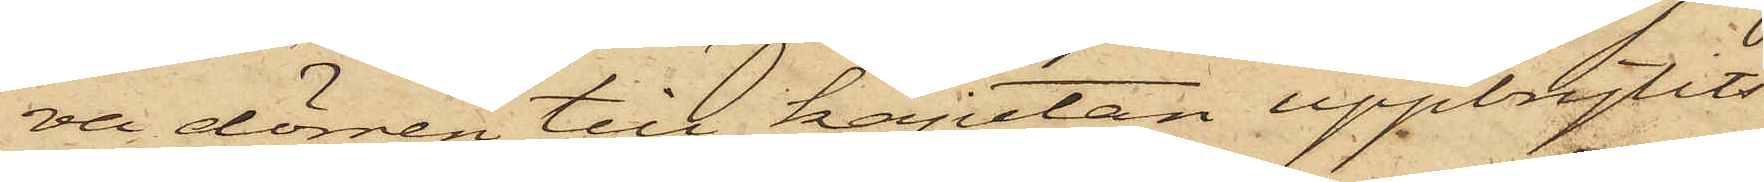va dörren till kajutan uppbrytits
